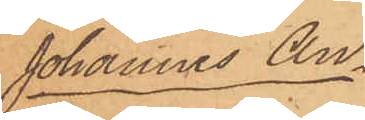Johannes An¬
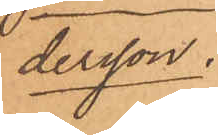dersson.
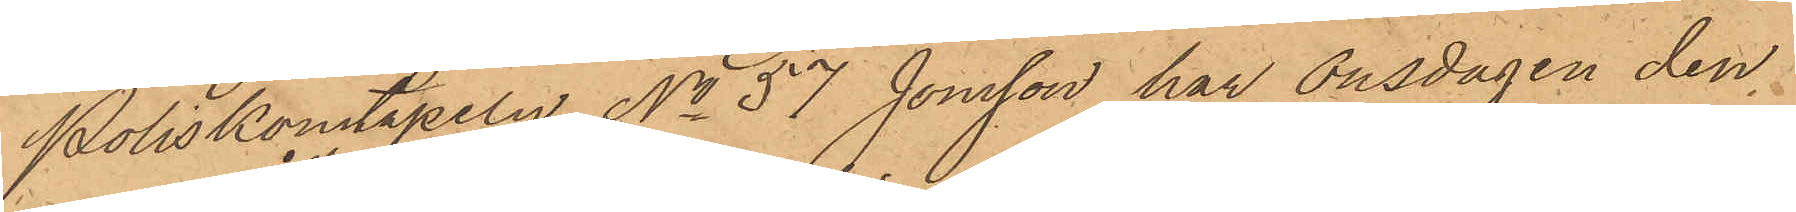Poliskonstapeln No 57 Jonsson har Onsdagen den
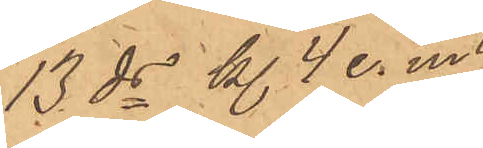13 ds kl. 4 e. m.
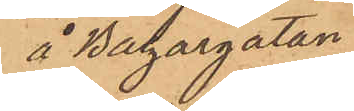å Bazargatan
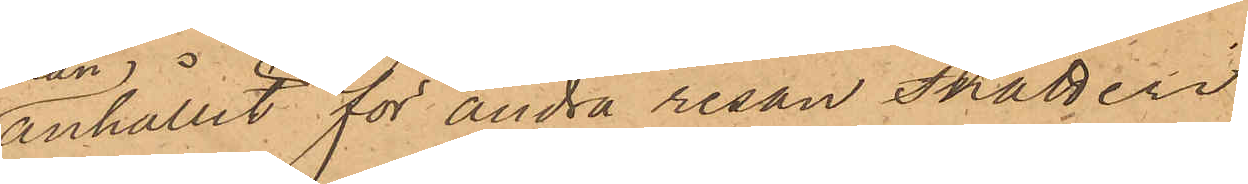anhållit för andra resan snatteri
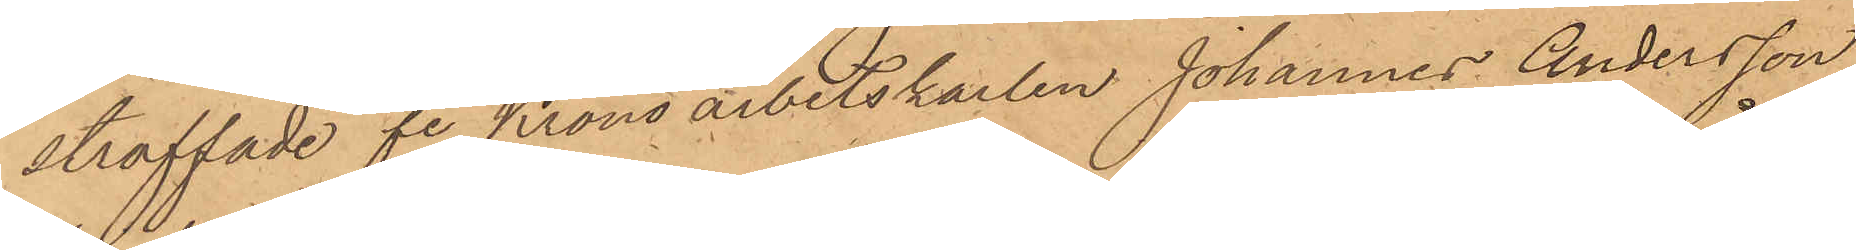straffade fe Kronoarbetskarlen Johannes Andersson
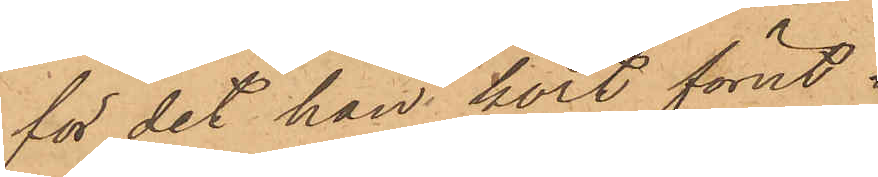för det han kort förut i
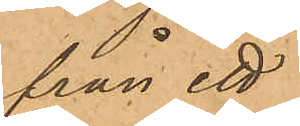från ett
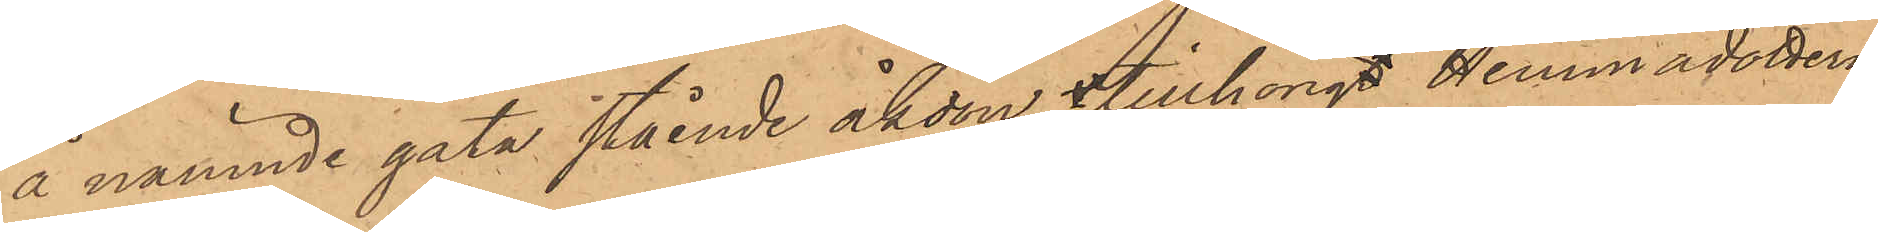å nämnde gata stående åkdon tillhörigt Hemmadottern
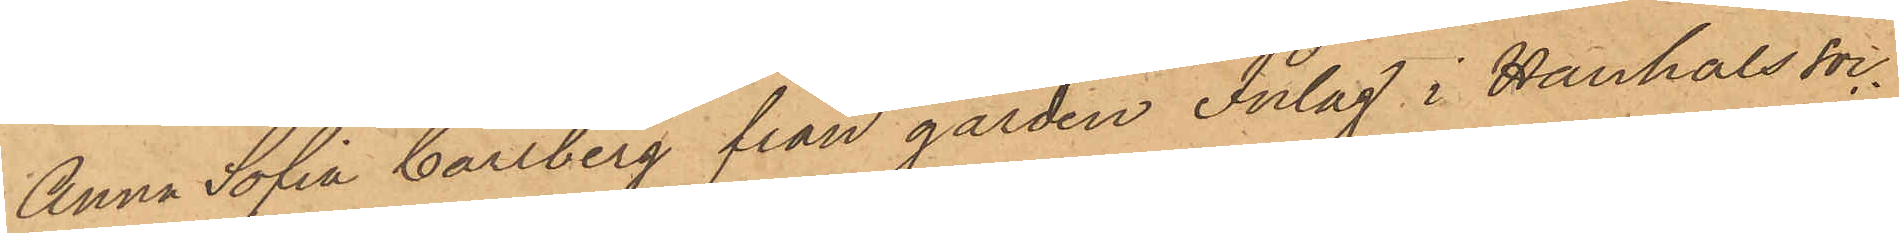Anna Sofia Carlberg från gården Inlag i Hanhals soc¬
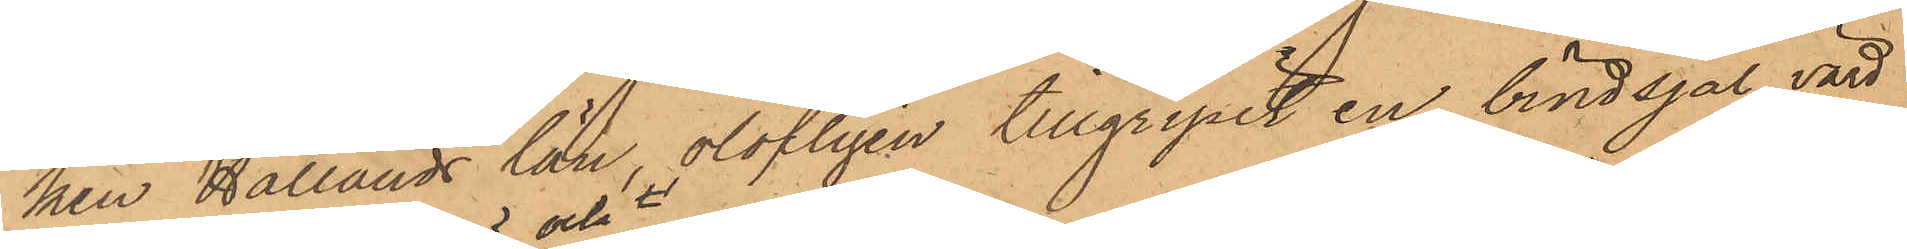ken Hallands län, olofligen tillgripit en bindsjal, värd
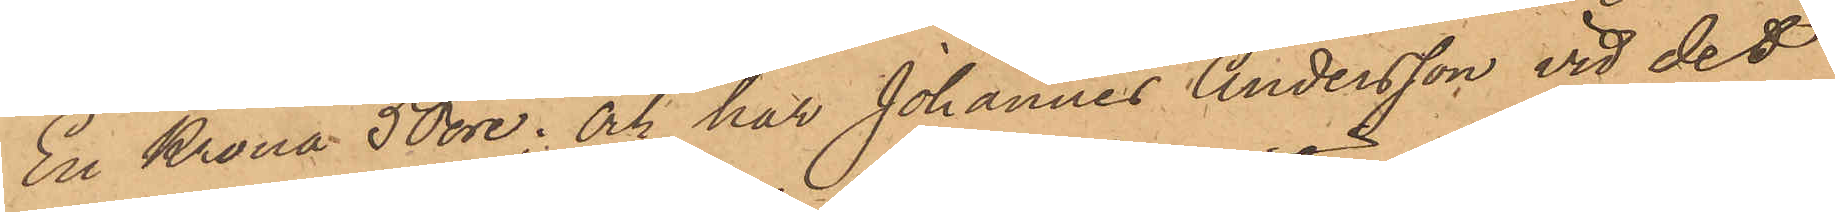En Krona 50 öre; och har Johannes Andersson vid det
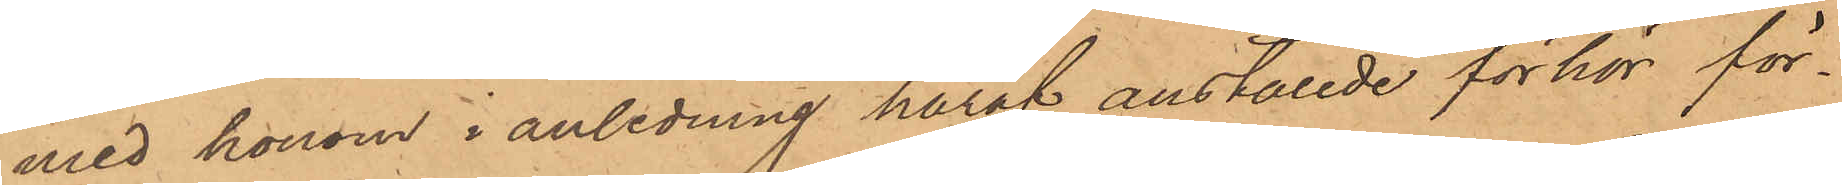med honom i anledning häraf anställde förhör för¬
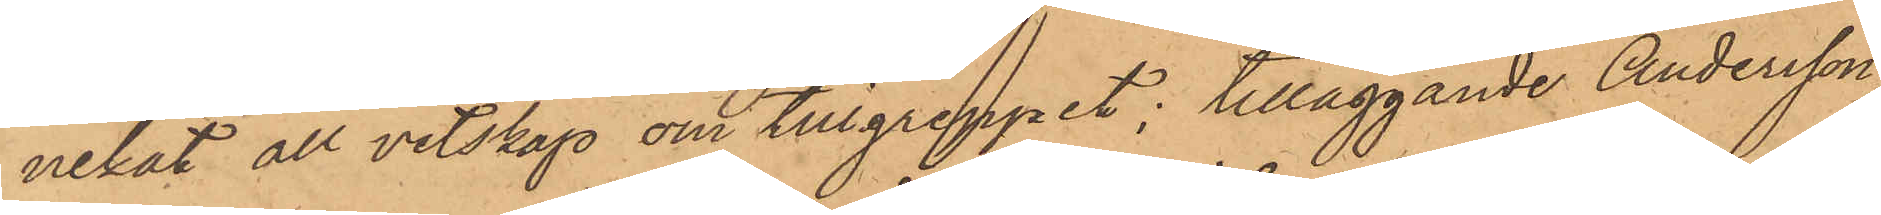nekat all vetskap om tillgreppet; tilläggande Andersson
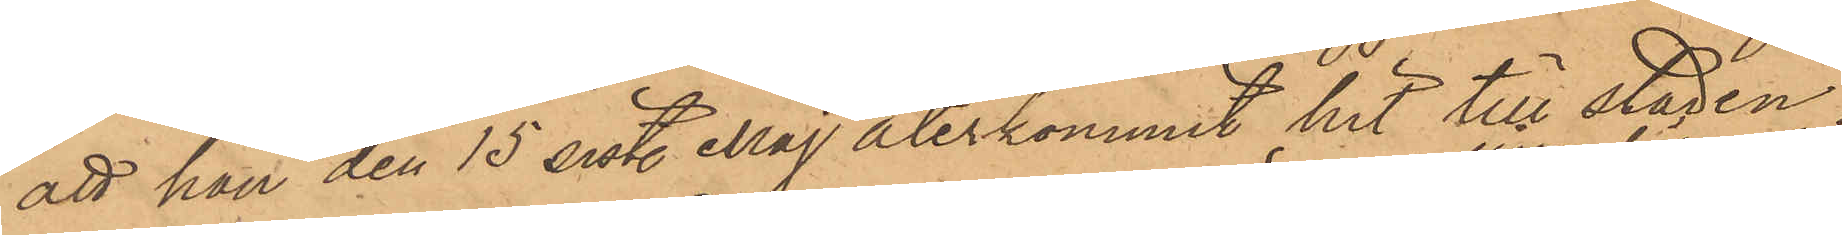att han den 15 sistl Maj återkommit hit till staden,
